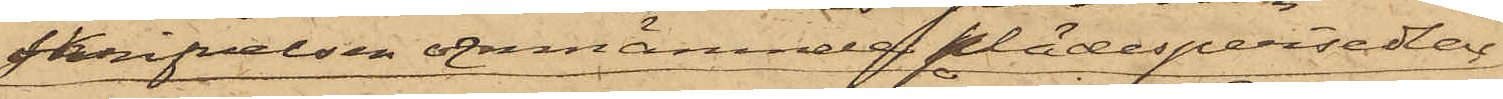skrifvelsen omnämnde klädespersedlar,
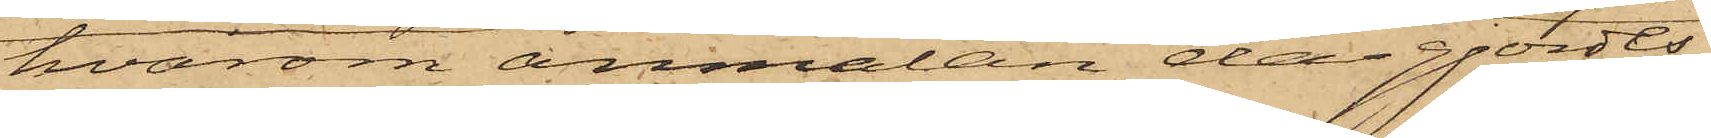hvarom anmälan då gjordts;
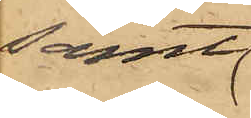samt
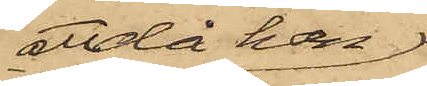att då han
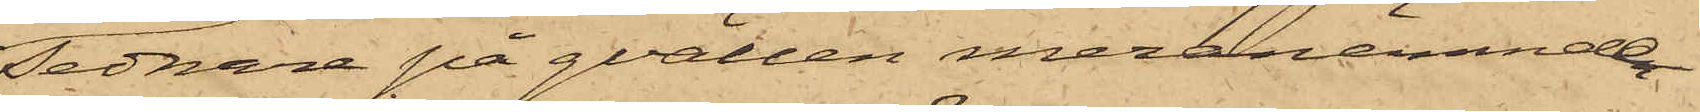sednare på qvällen meranämnde
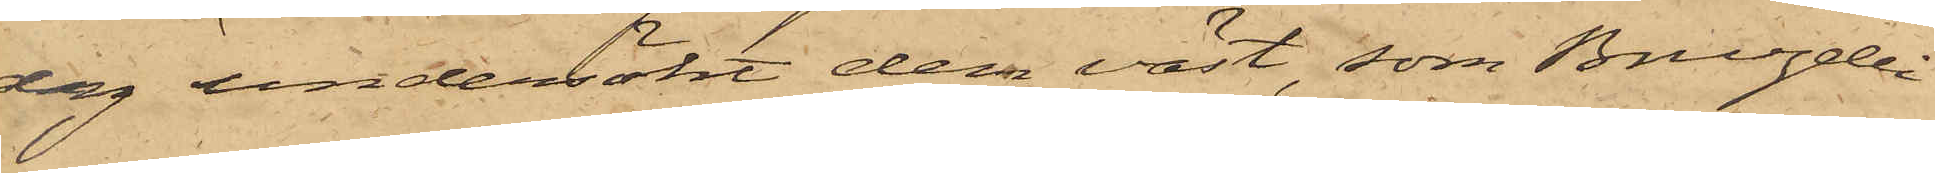dag undersökt dem väst, som Bruzelli
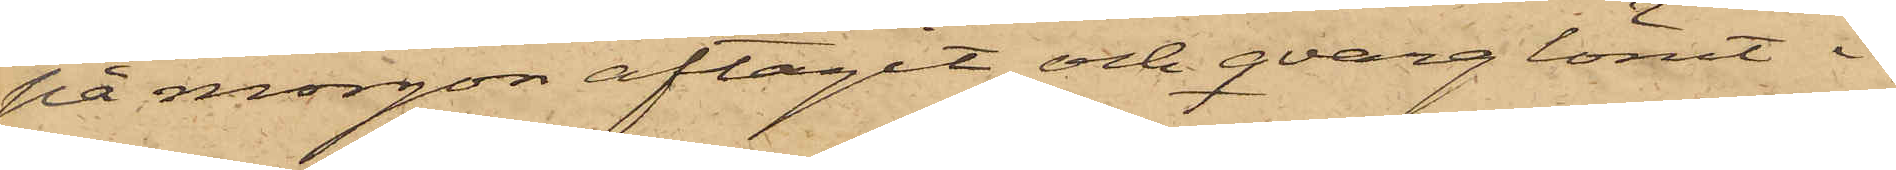på morgon aftagit och qvarglömt i
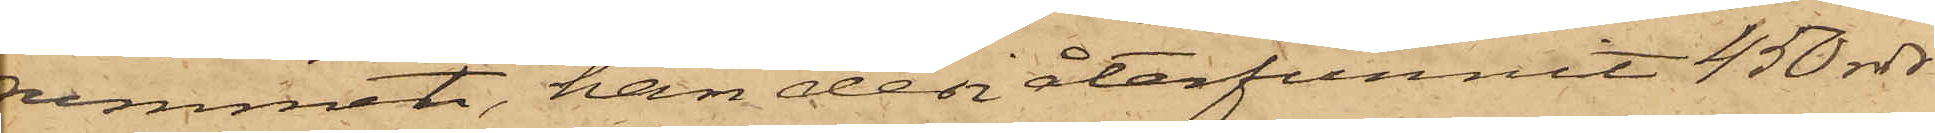rummet, han den återfunnit 450 rdr
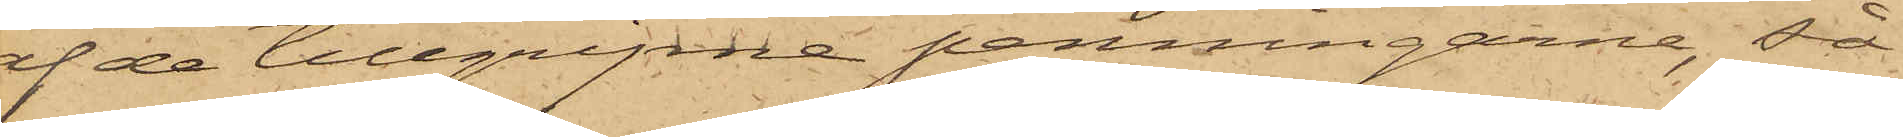af de tillgripne penningarne, så
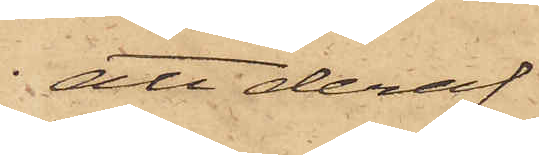att deraf
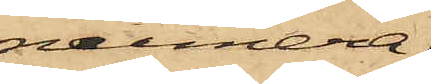numera
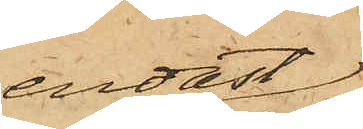endast
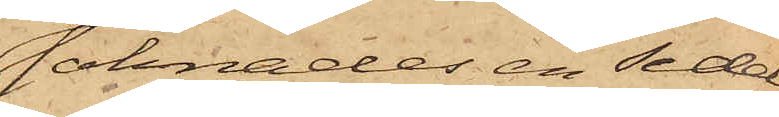saknades en sedel
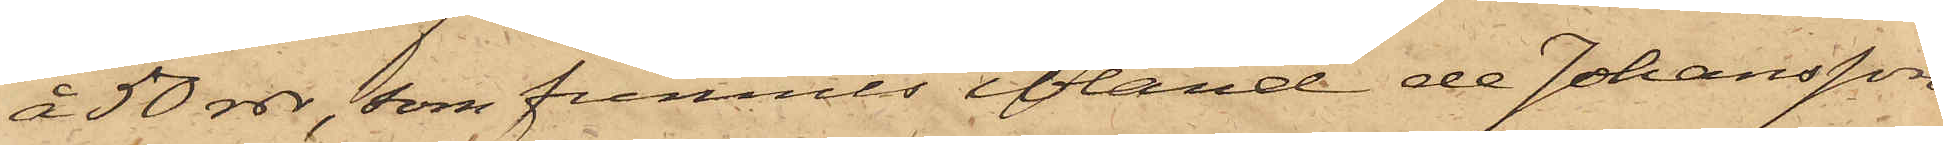å 50 rdr, som funnits ibland de Johansson
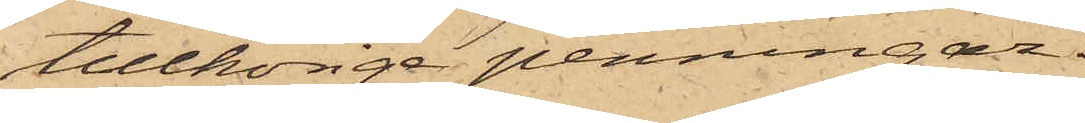tillhörige penningar.
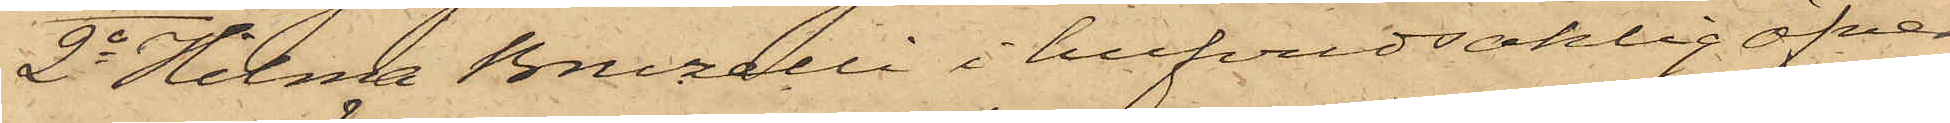2o Hilma Bruzelli i hufvudsaklig öfver¬
